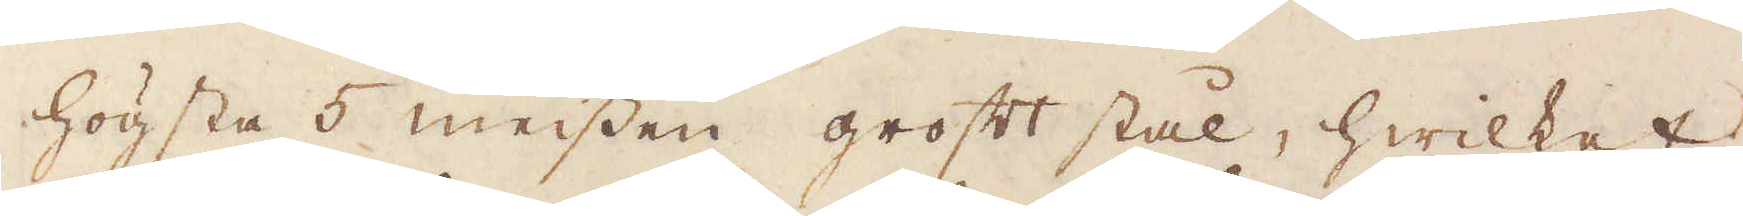högsta 5 meissen groft stål, hwilket
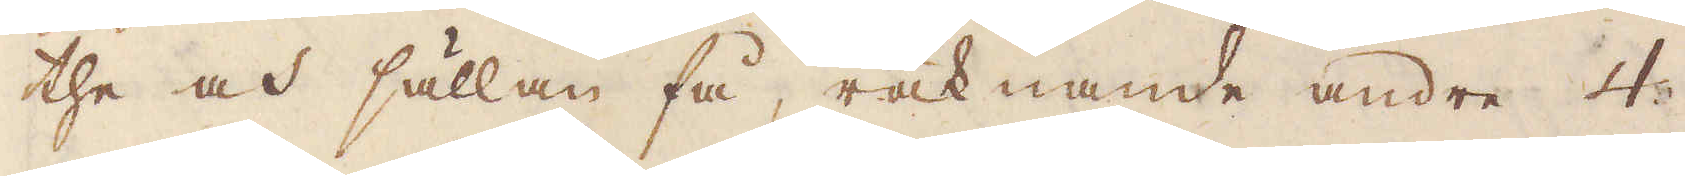the och sällan få, räknande andre 4
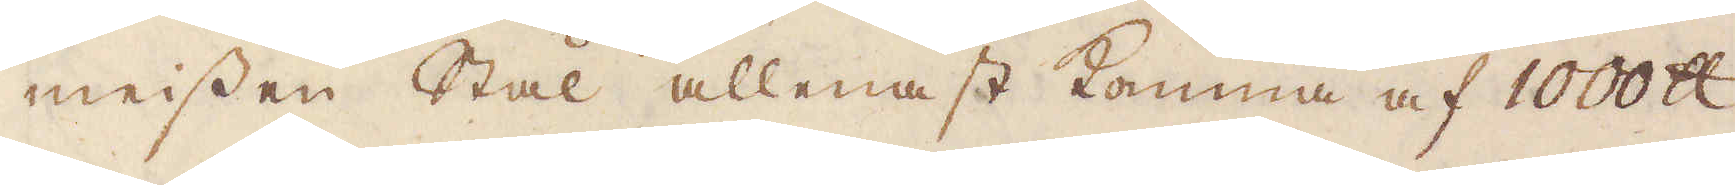meissen Stål allenast komma af 1000 skålpund
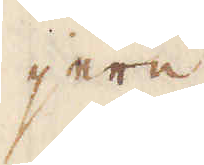jern.
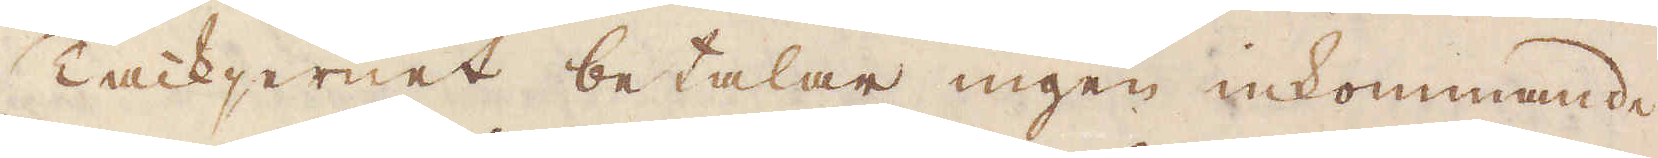Tackjernet betalar ingen inkommande
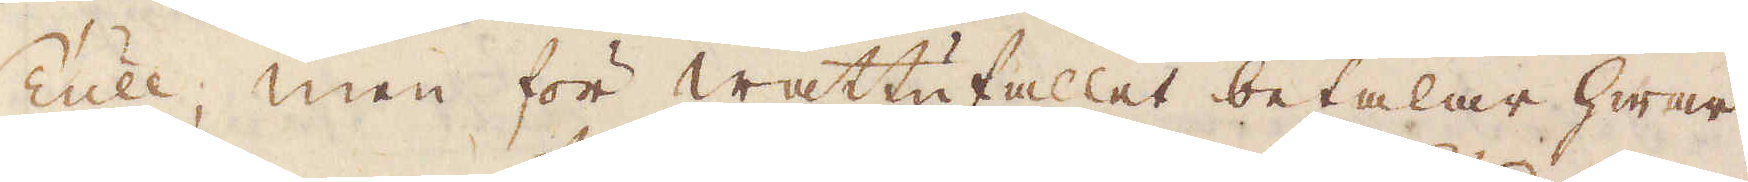Tull, men för wattufallet betalar hwar
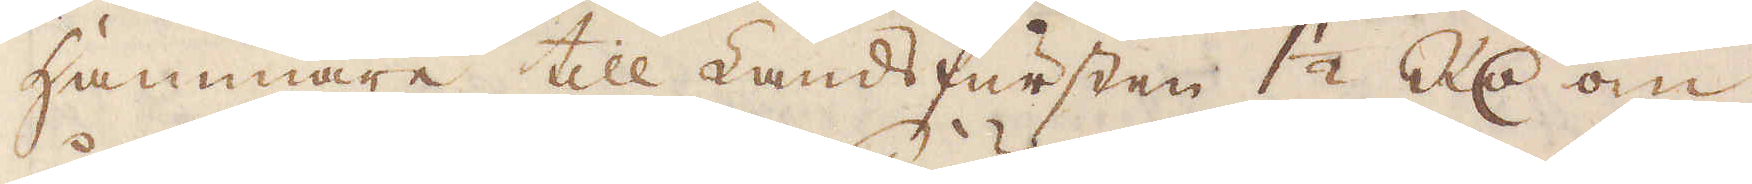Hammare till Landsfursten 1 1/2 R:dr om
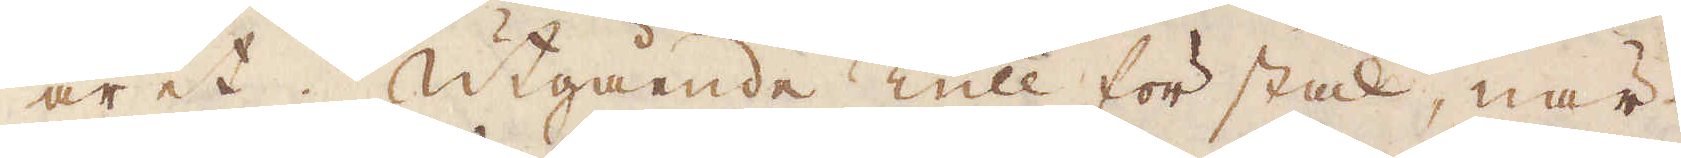året. Utgående Tull för stål, när
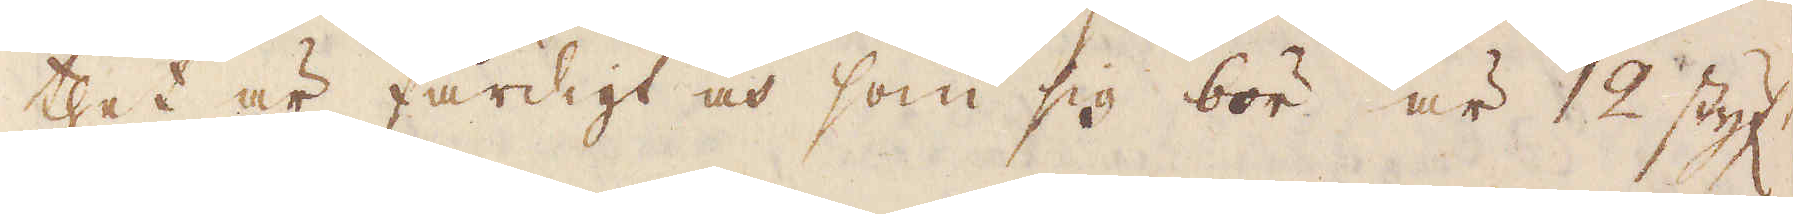thet är färdigt och som sig bör är 12 styf:r
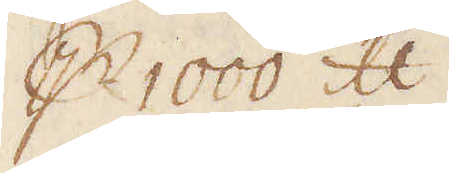p 1000 skålpund.
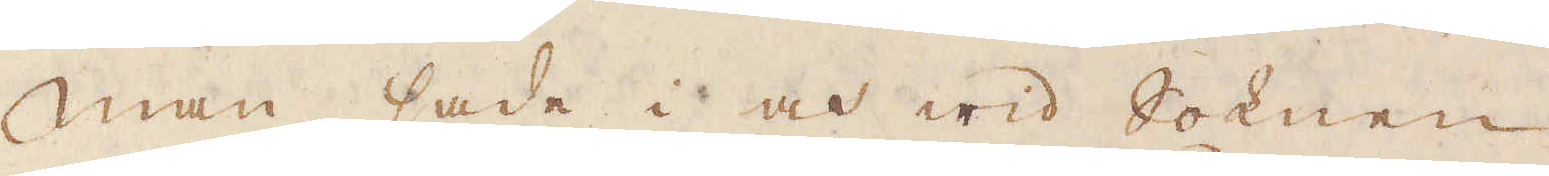Man sade i och wid Soknen
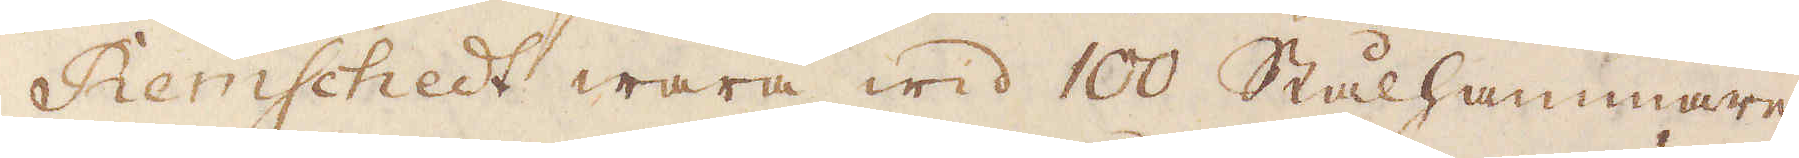Remschedt wara wid 100 Stålhammare,
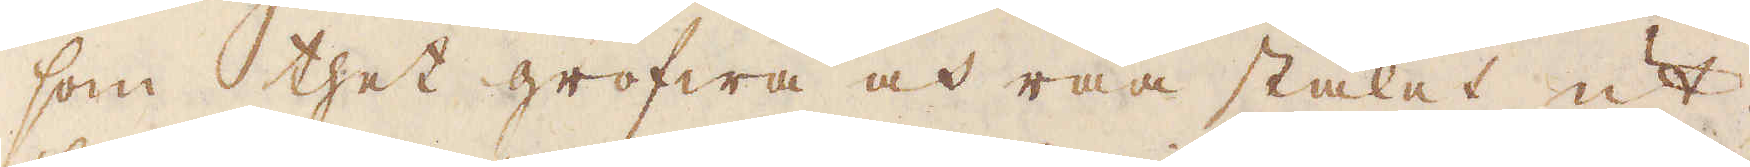som thet grofwa och råa stålet ut-
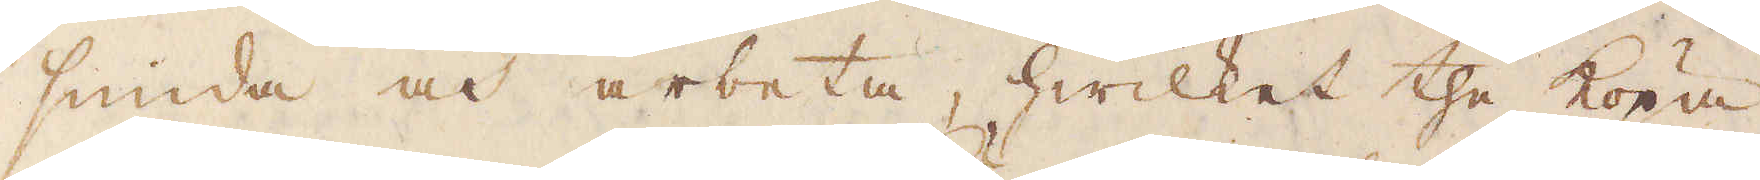smida och arbeta, hwilket the köpa
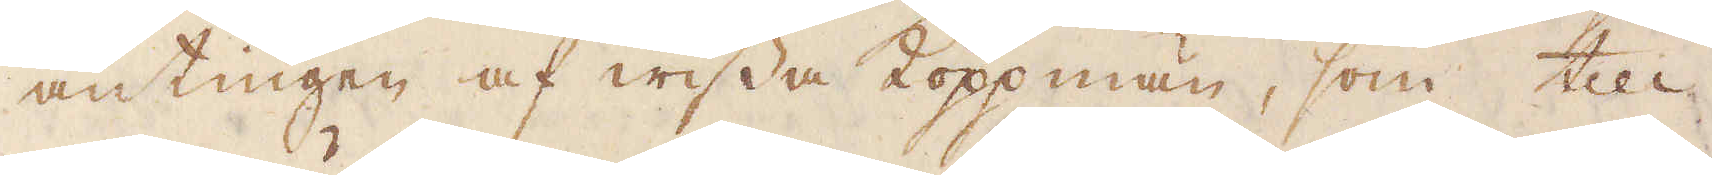antingen af wissa köppmän, som till
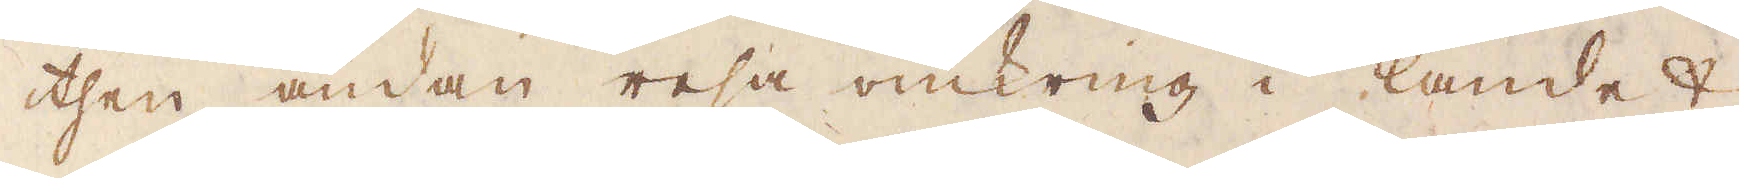then ändan resa omkring i landet
